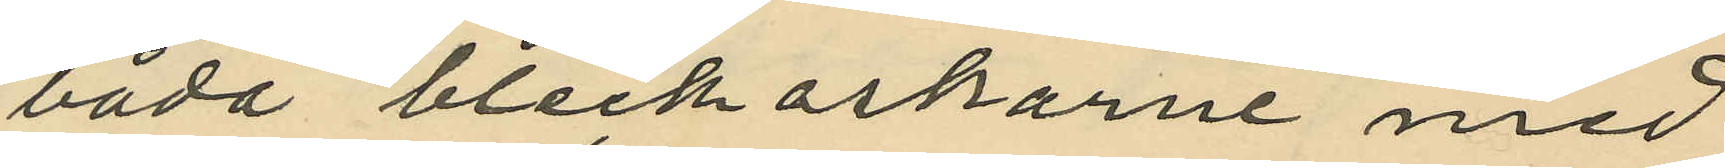båda bleckaskarne med
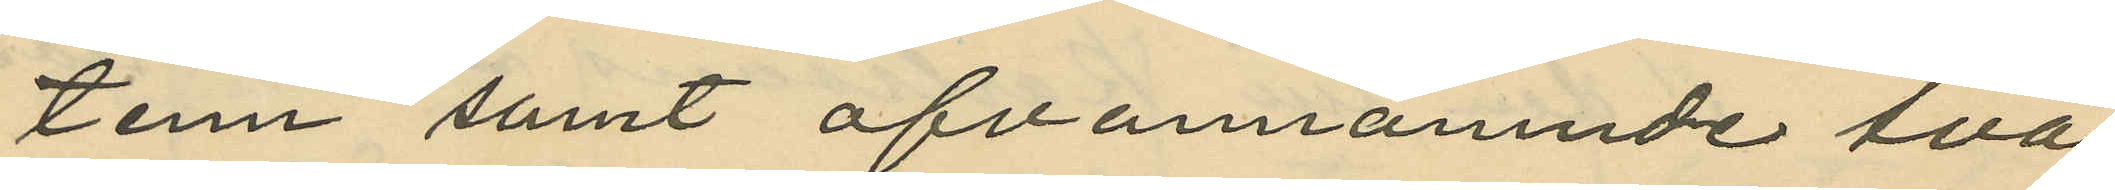tenn samt ofvannämnde två
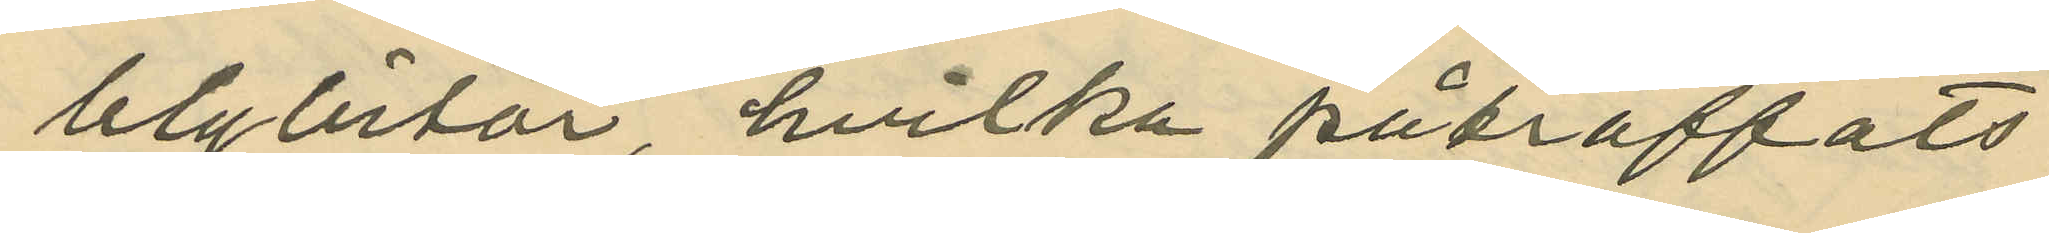blybitar, hvilka påträffats
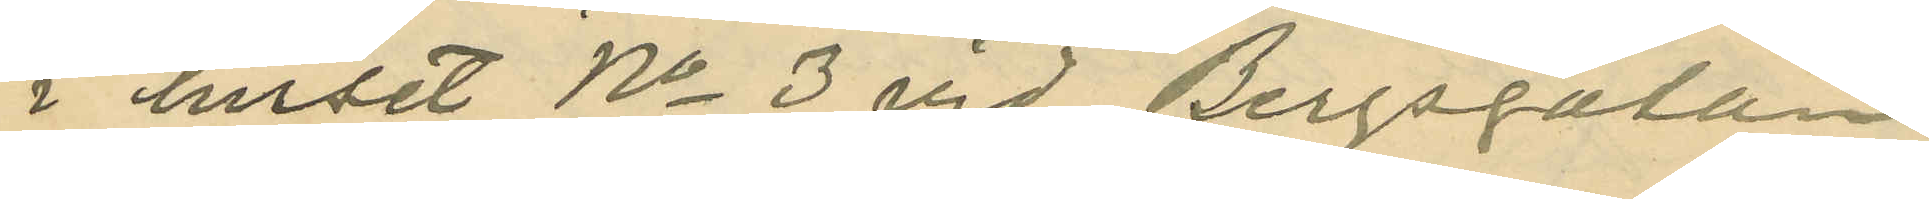i huset No 3 vid Bergsgatan.
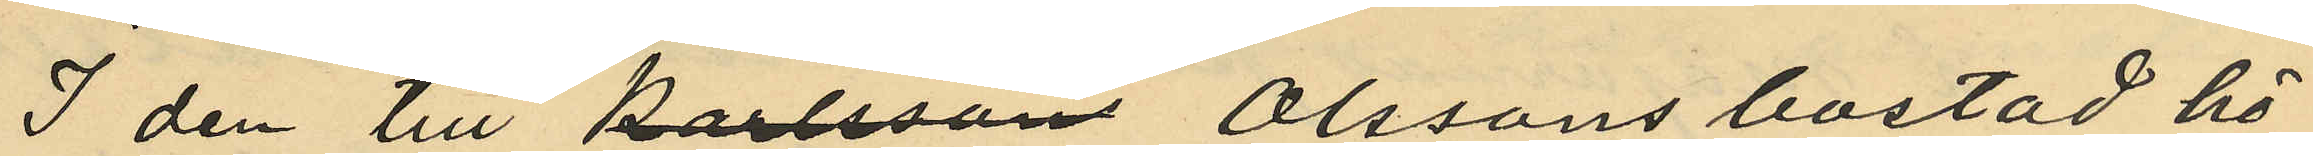I den till Olssons bostad hö¬
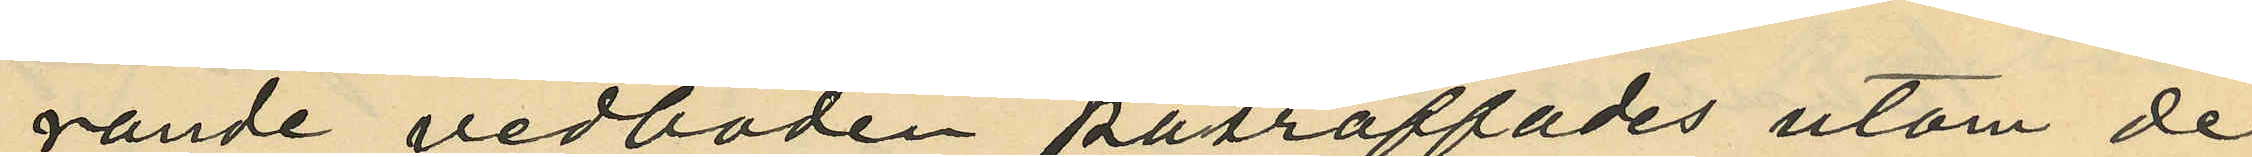rande vedboden påträffades utom de
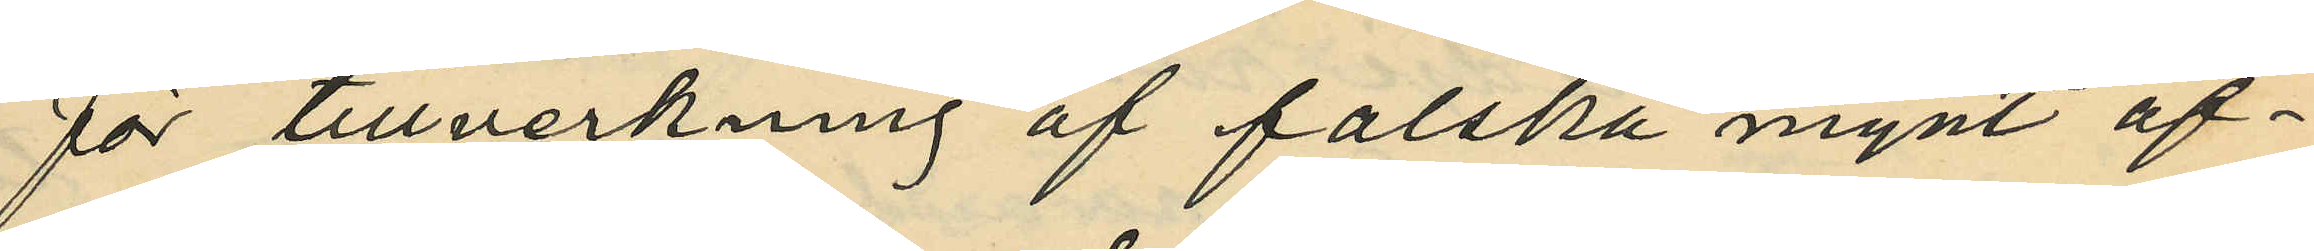för tillverkning af falska mynt af¬
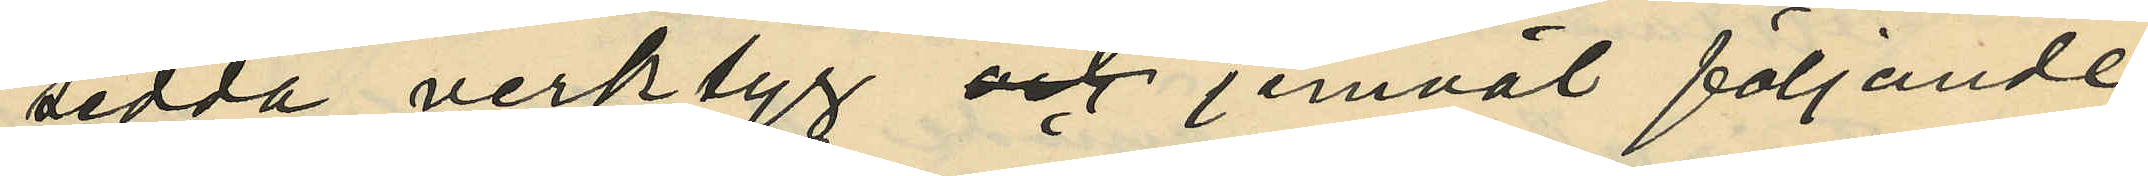sedda verktyg jemväl följande
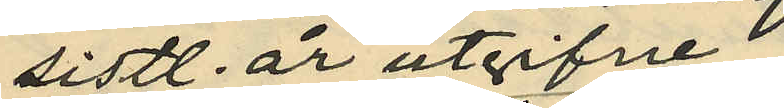sistl. år utgifne
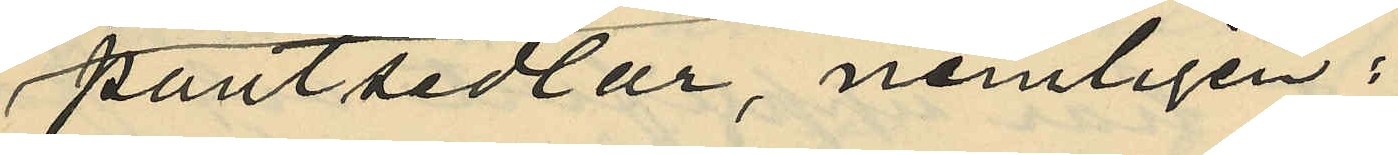pantsedlar, nemligen:
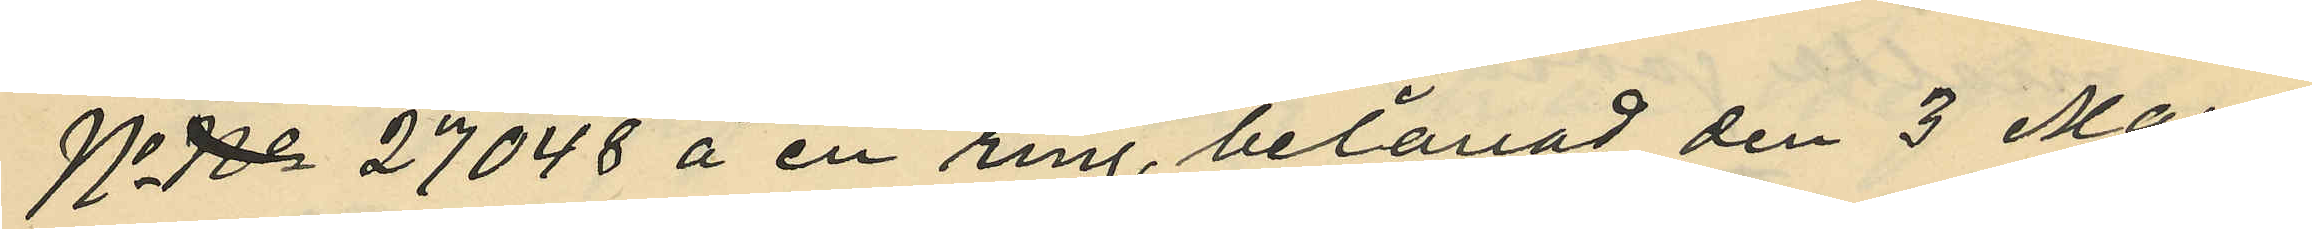No  27048 å en ring, belånad den 3 Mars
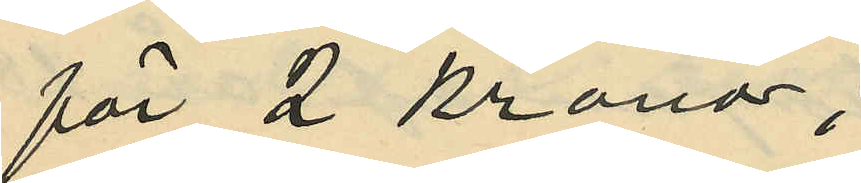för 2 kronor;
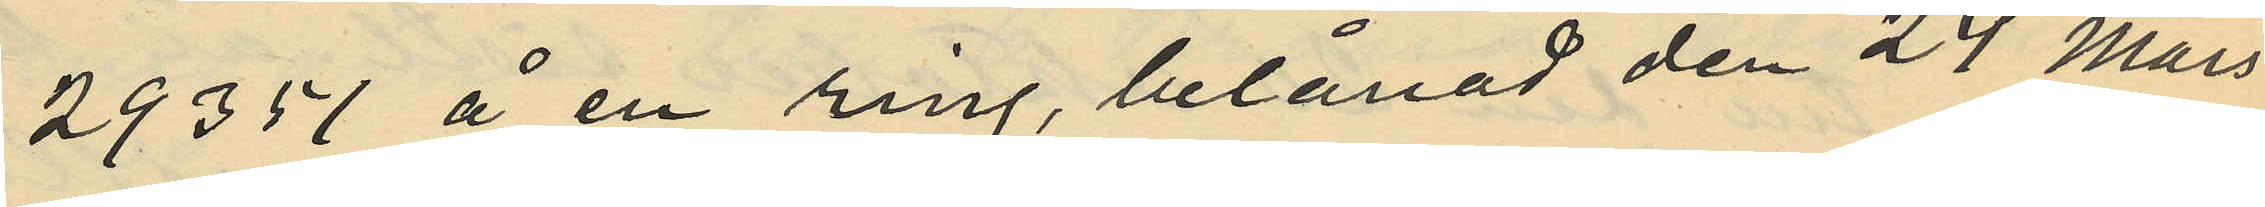29351 å en ring, belånad den 24 Mars
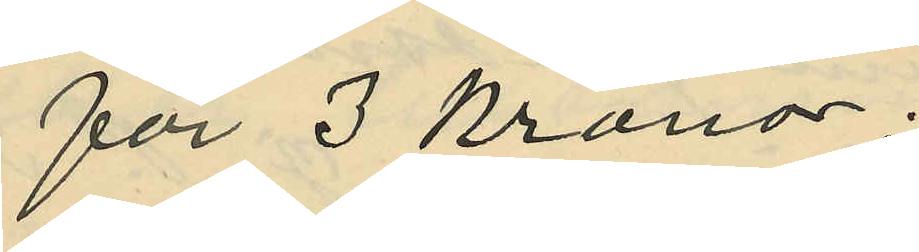för 3 kronor;
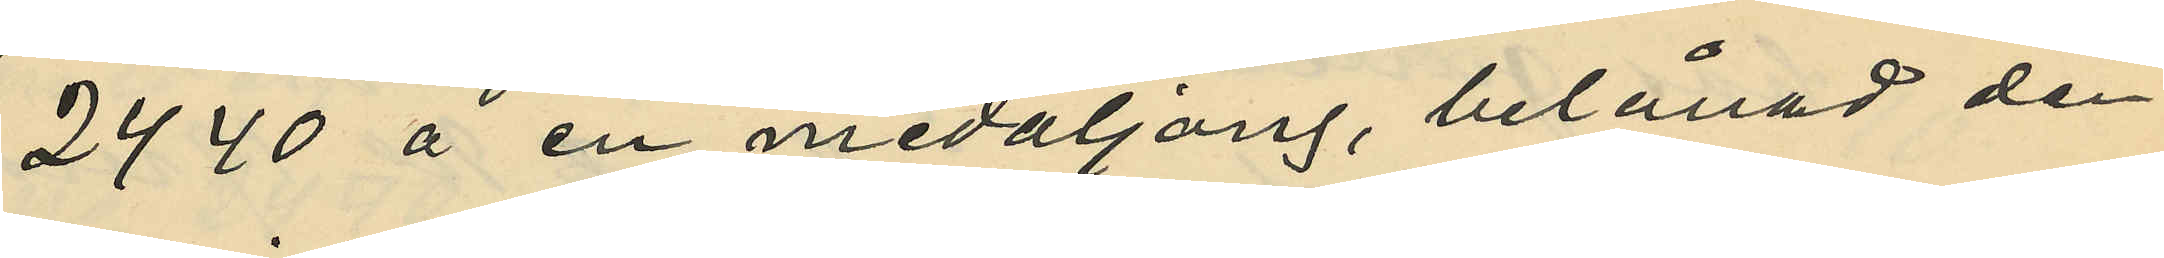2440 å en medaljong, belånad den
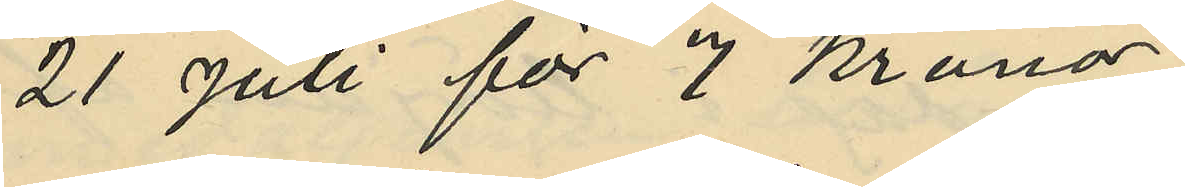21 Juli för 7 kronor;
